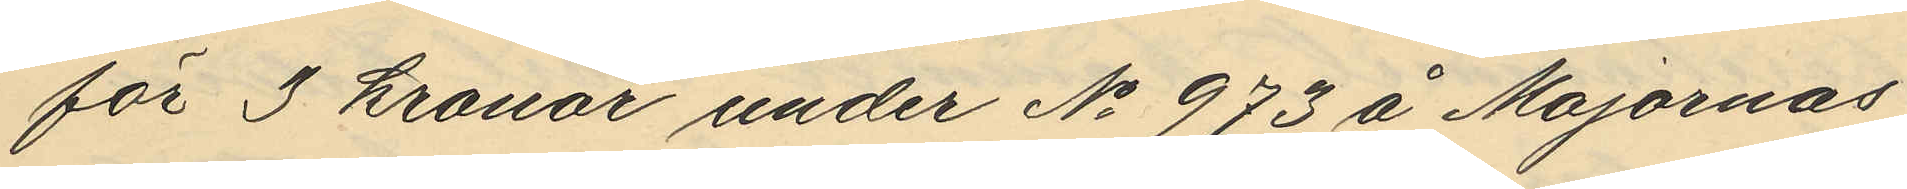för 3 kronor under No 973 å Majornas
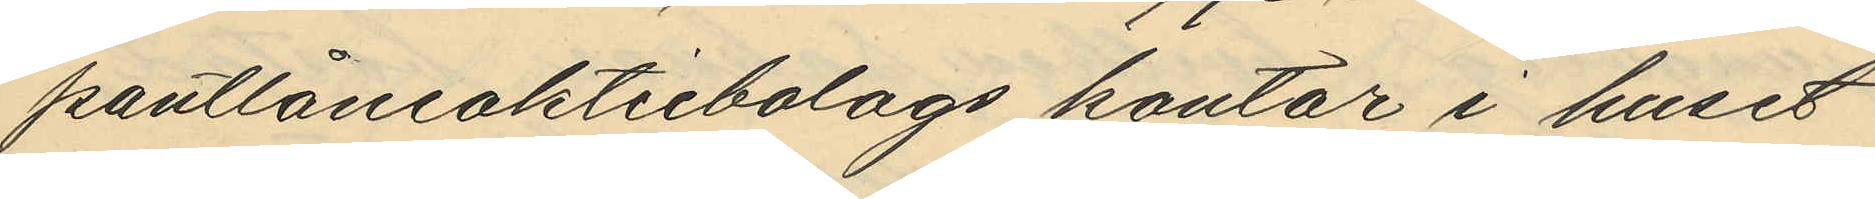pantlåneaktiebolags kontor i huset
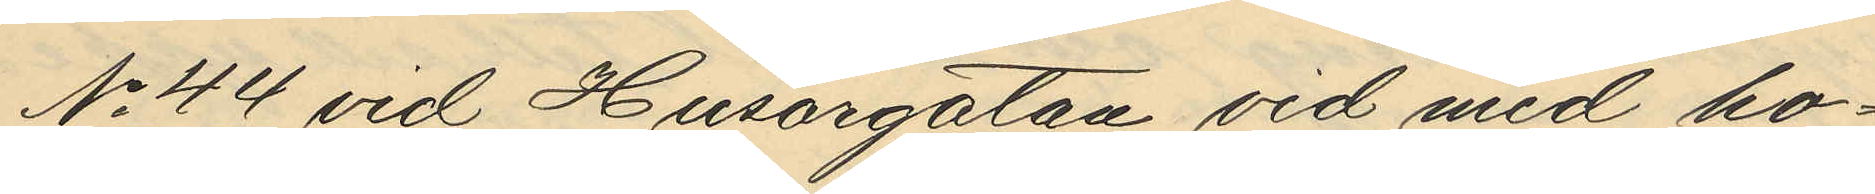No 44 vid Husargatan vid med ho¬
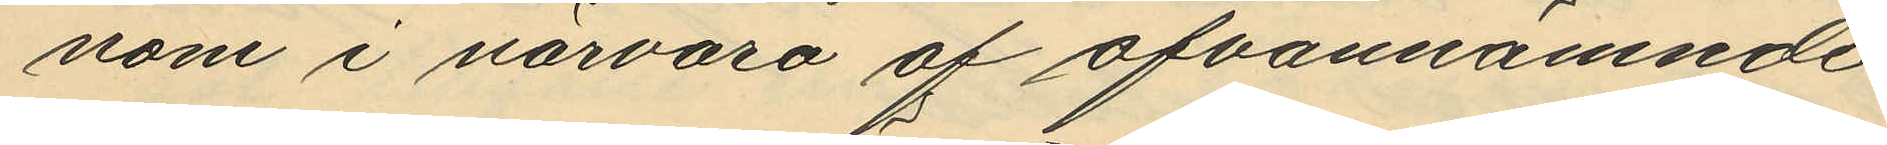nom i närvaro af ofvannämnde
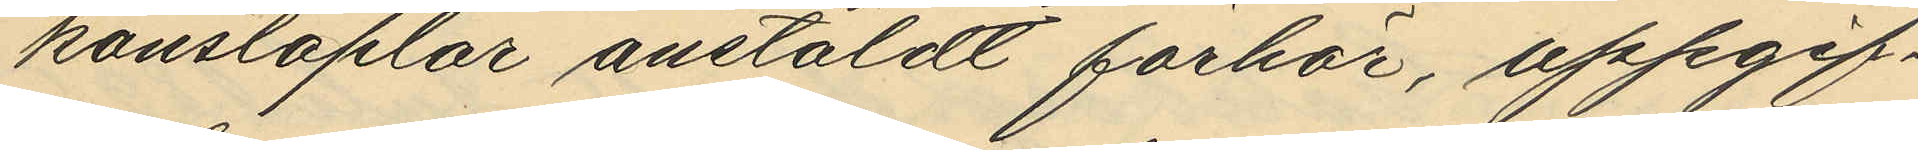konstaplar anstäldt förhör, uppgif¬
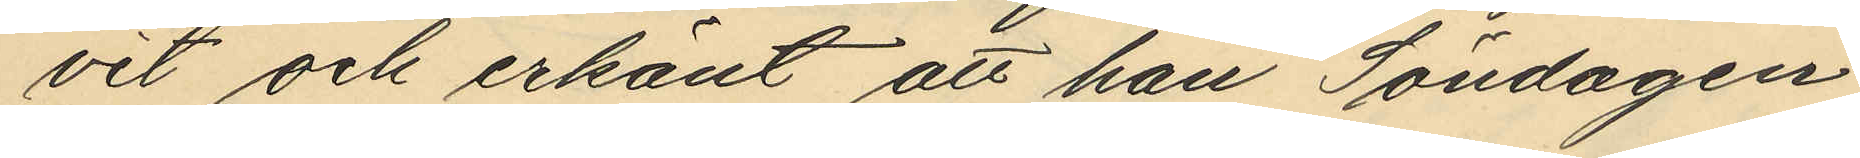vit och erkänt att han Söndagen
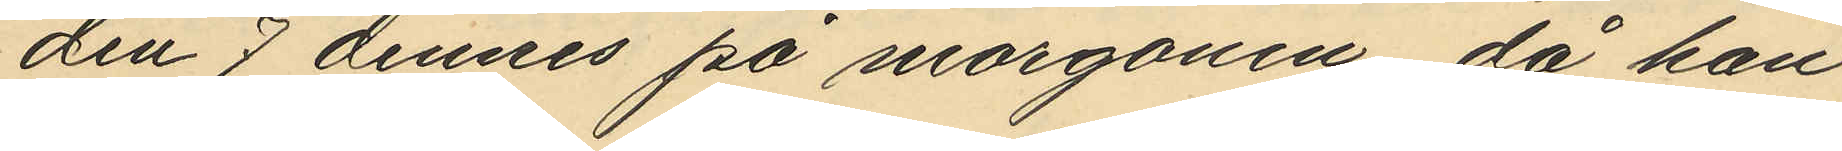den 7 dennes på morgonen, då han
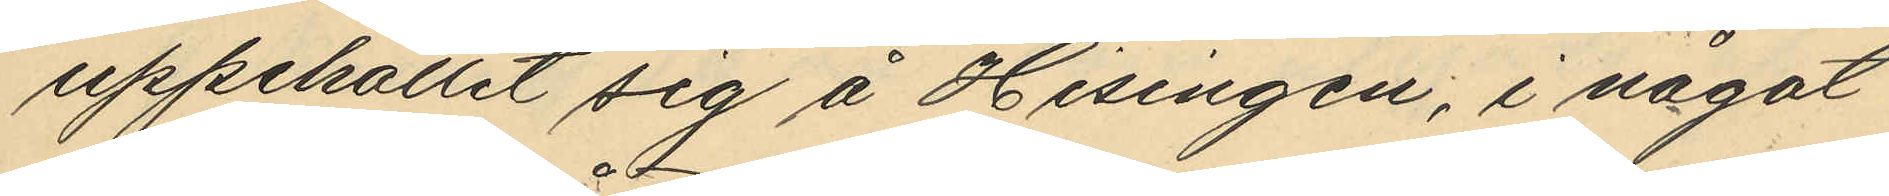uppehållit sig å Hisingen, i något
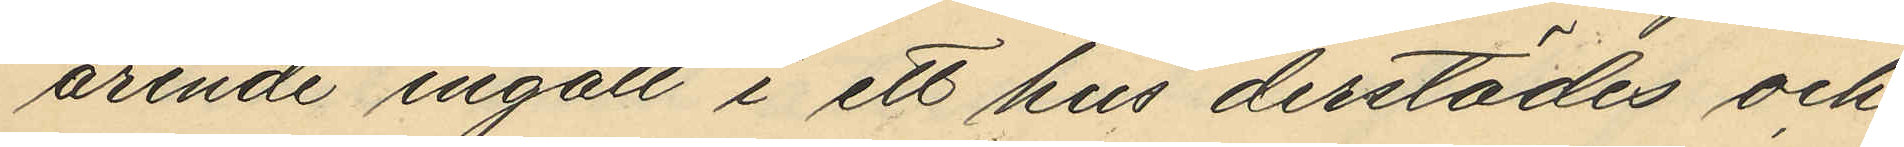ärende ingått i ett hus derstädes och
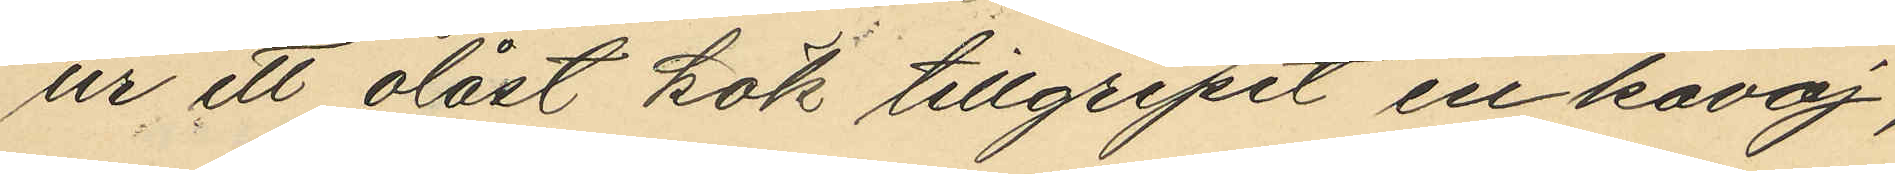ur ett olåst kök tillgripit en kavaj,
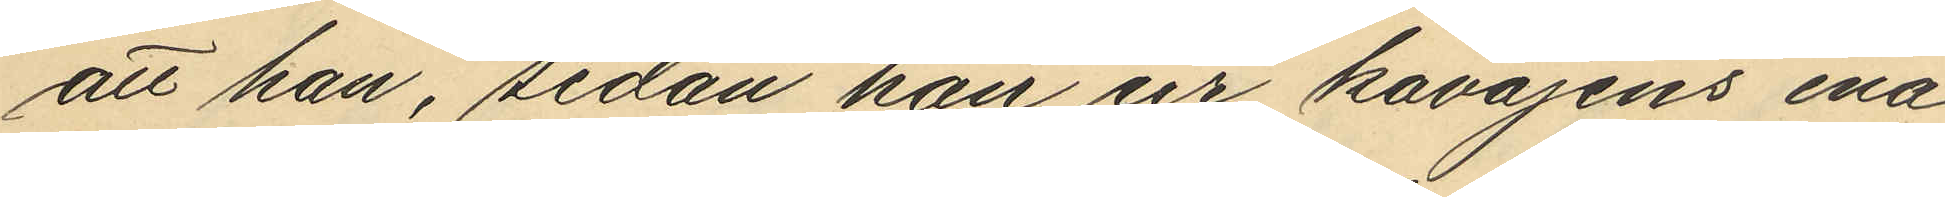att han, sedan han ur kavajens ena
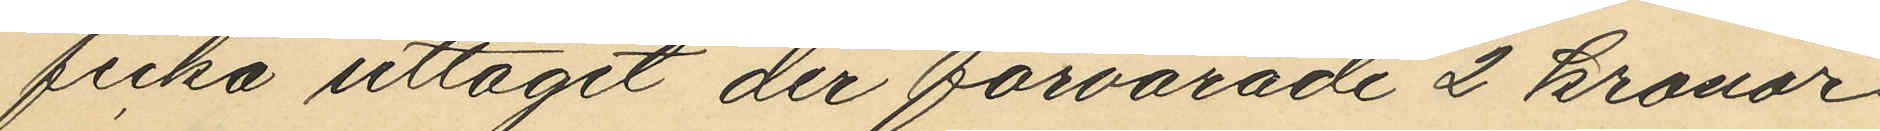ficka uttagit der förvarade 2 kronor
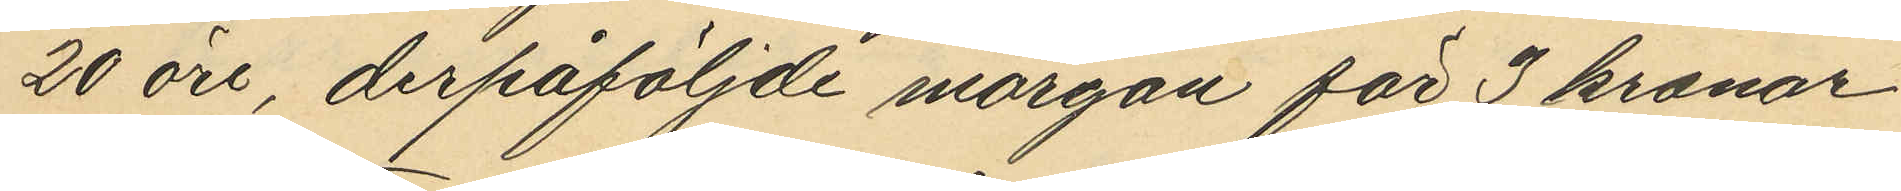20 öre, derpåföljde morgon för 3 kronor
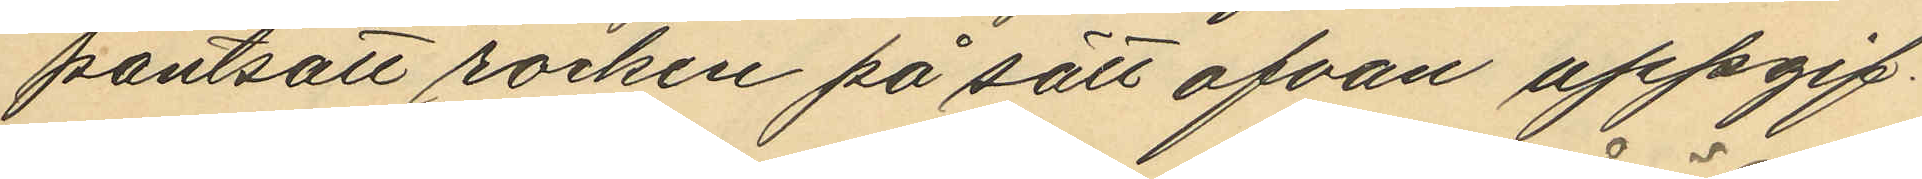pantsatt rocken på sätt ofvan uppgif¬
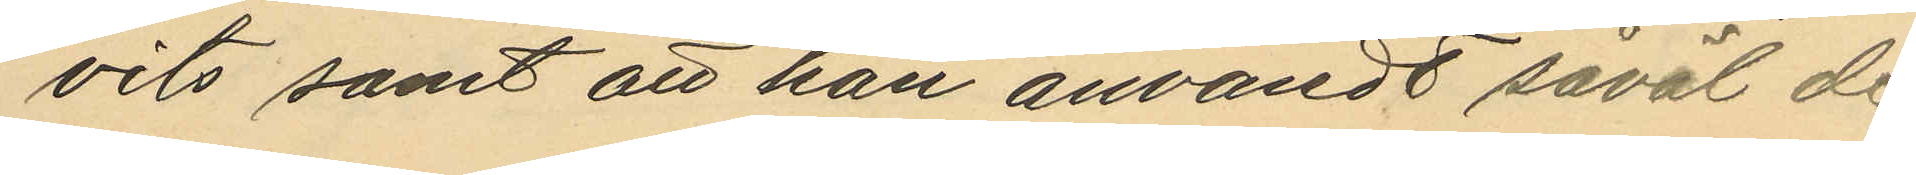vits samt att han användt såväl de
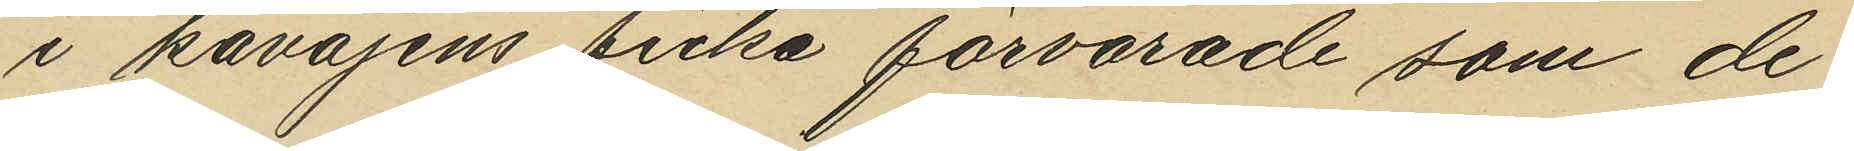i kavajens ficka förvarade som de
